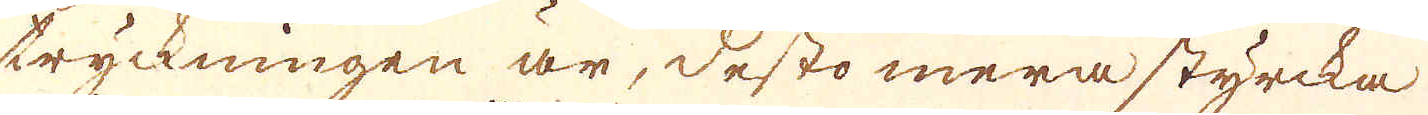tryckningen är, desto mera styrcka
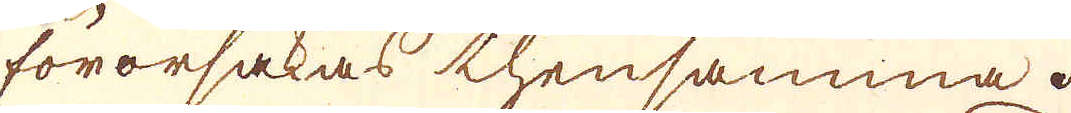förorsakas thensamma.
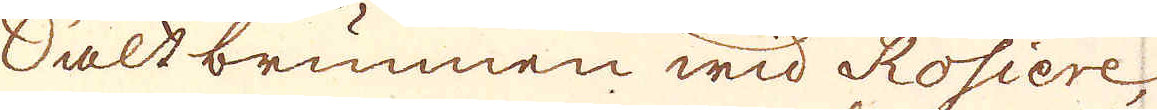Saltbrunnen wid Rosiere,
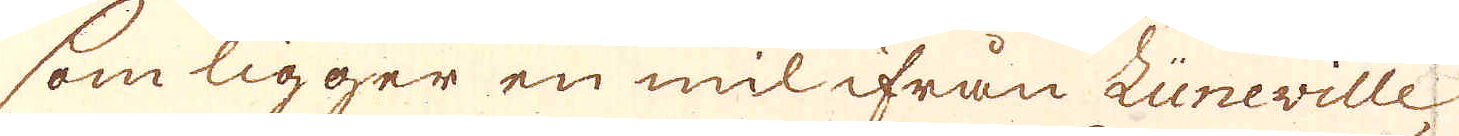som ligger en mil ifrån Lüneville,
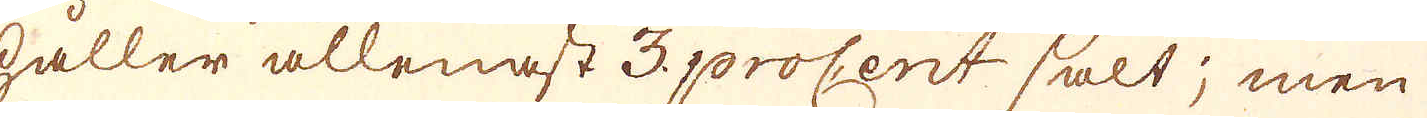håller allenast 3 procent salt; men
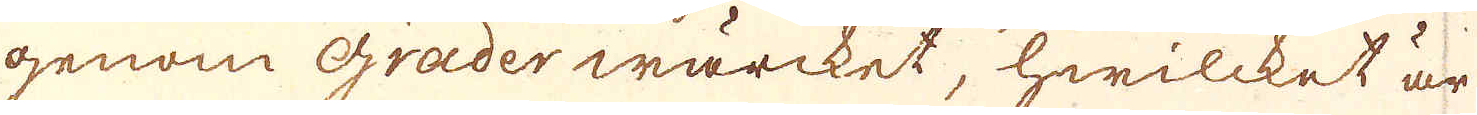genom grader wärcket, hwilcket är
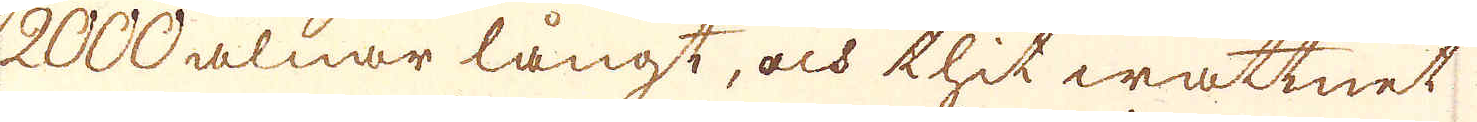2000 alnar långt, och thit wattnet
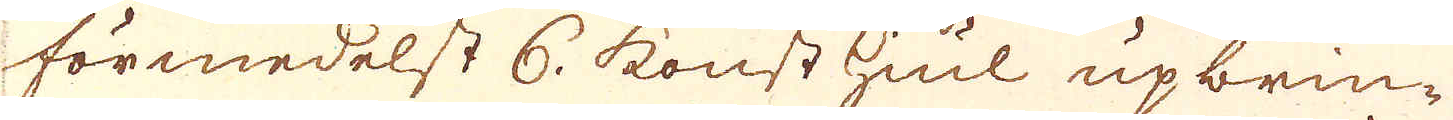förmedelst 6. konst hiul upbrin-
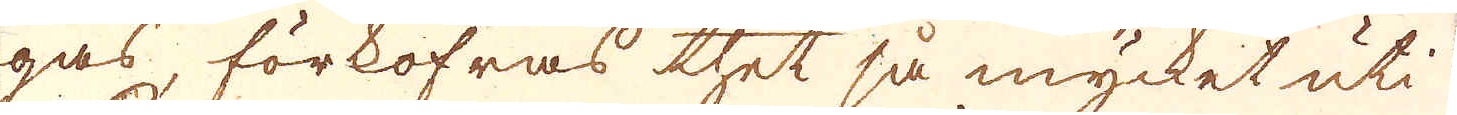gas, förkofras thet så mycket uti
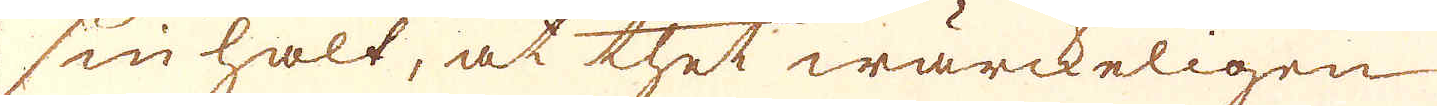sin halt, at thet wärckeligen
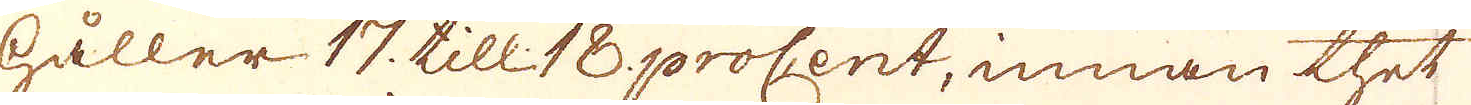håller 17. till 18 procent, innan thet
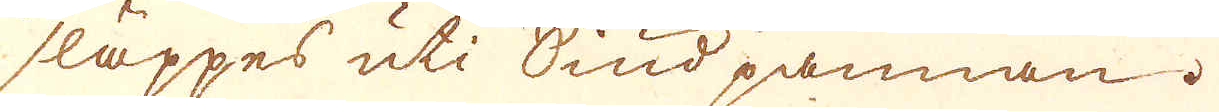släppes uti Siud pannan.
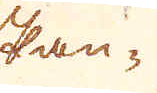Pan-
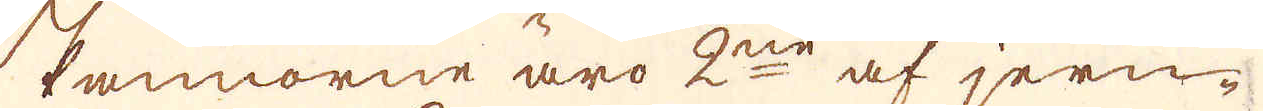Pannorne äro 2ne af jern-
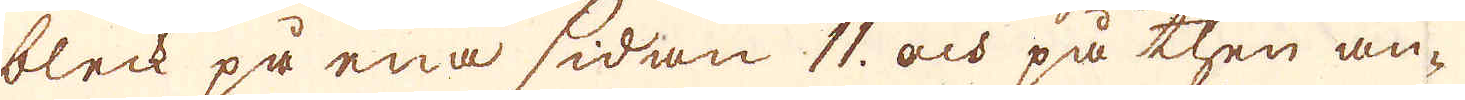bleck på ena sidan 11 och på then an-
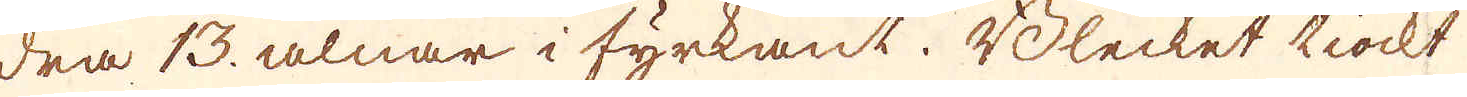dra 13. alnar i fyrkant. Blecket tiockt
